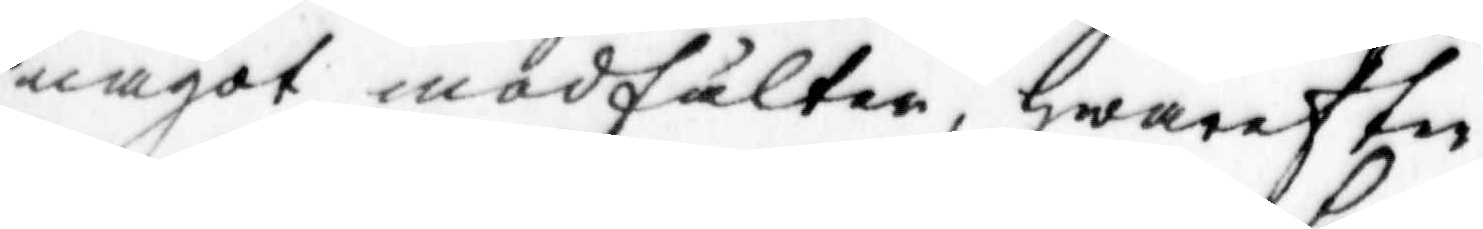något modfälter, hwarefter
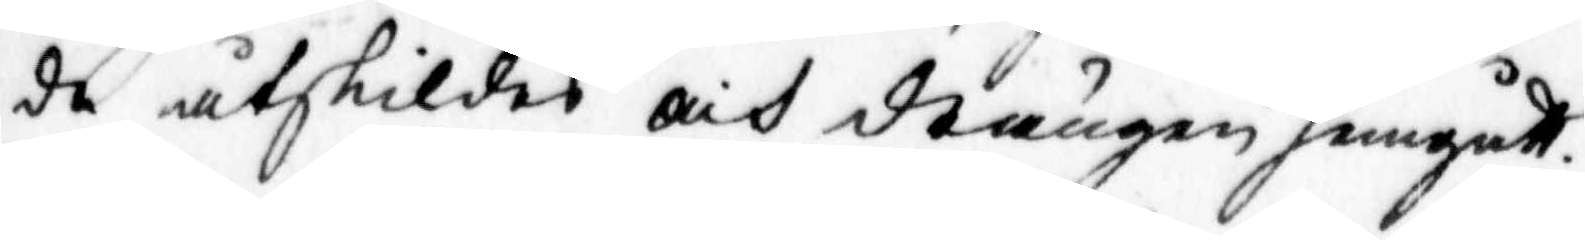de åtskildes och drängen hemgått.
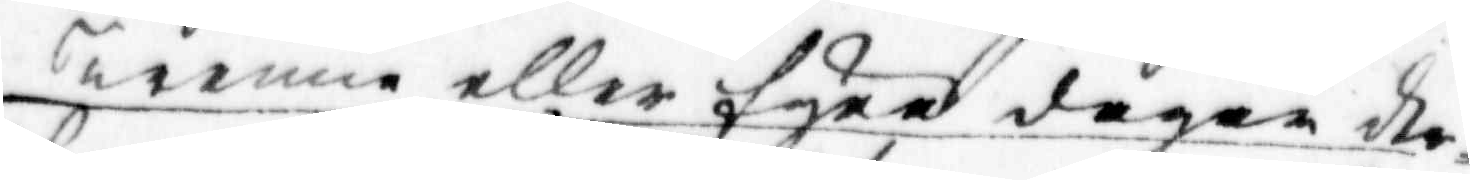Trenne eller fyra dagar der¬
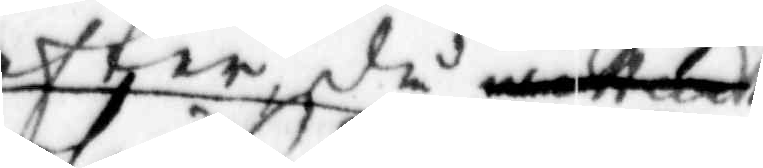efter få
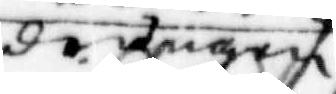drängen
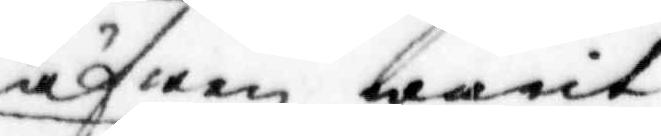äfwen warit
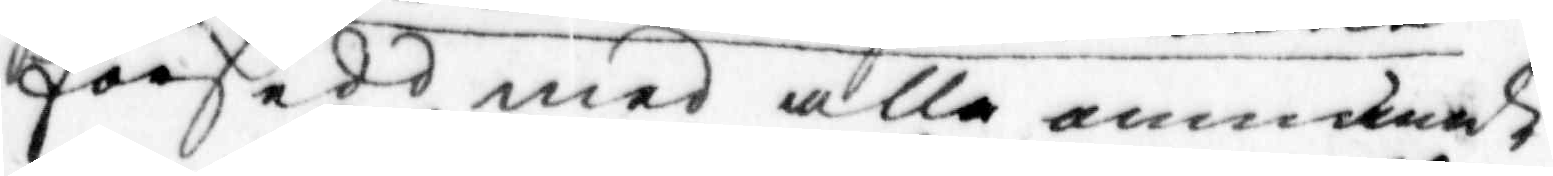försedd med alla ammande
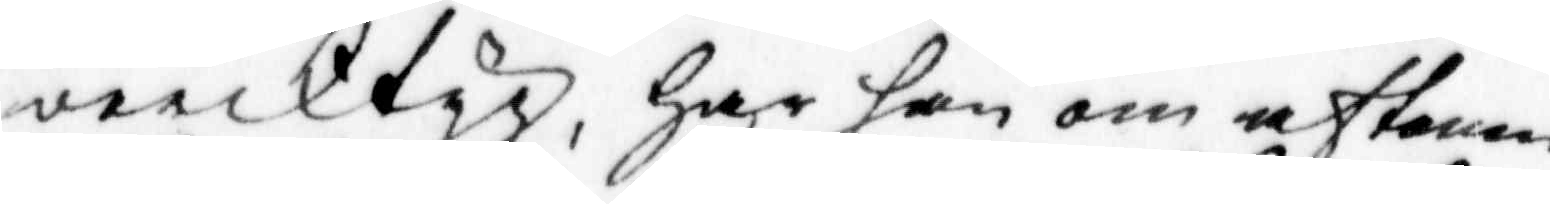vercktyg, har han om aftonen
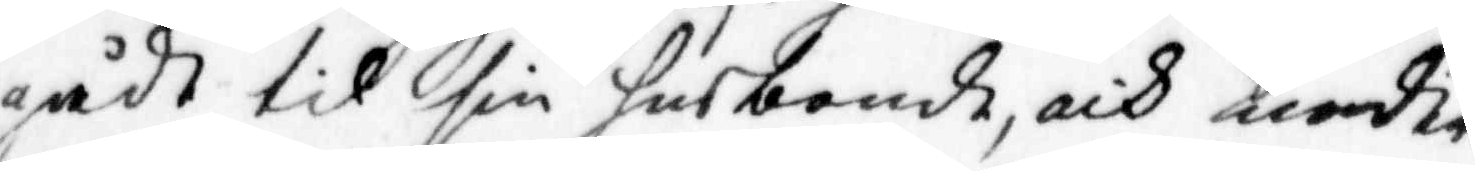gådt til sin husbonde, och ärender
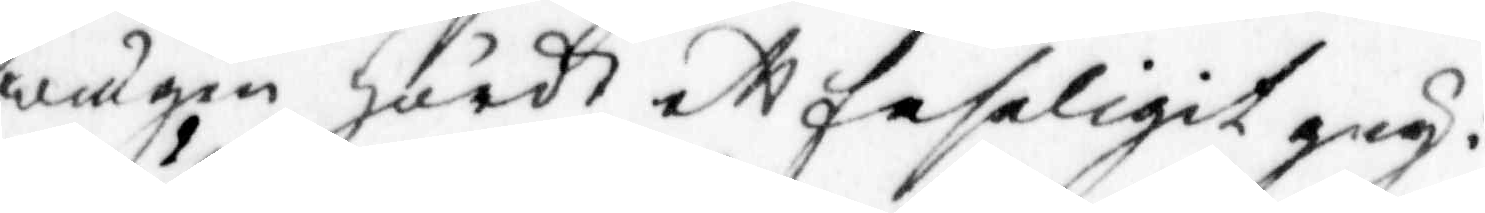wungen hördt ett faseligit greg:
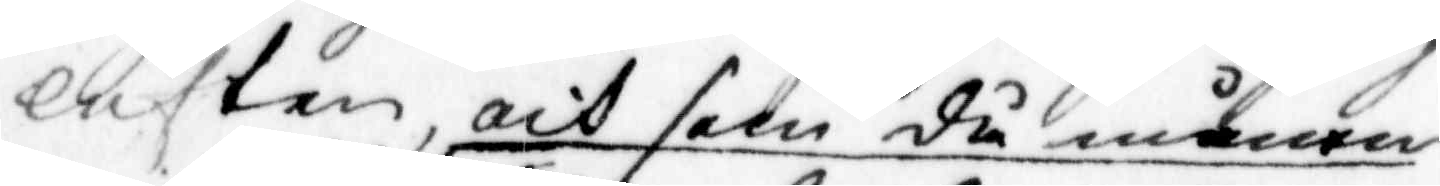luften, och som då månen
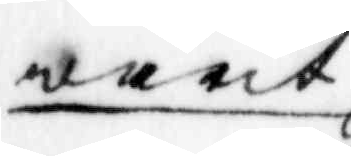warit
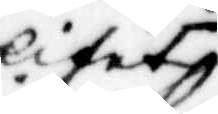litet
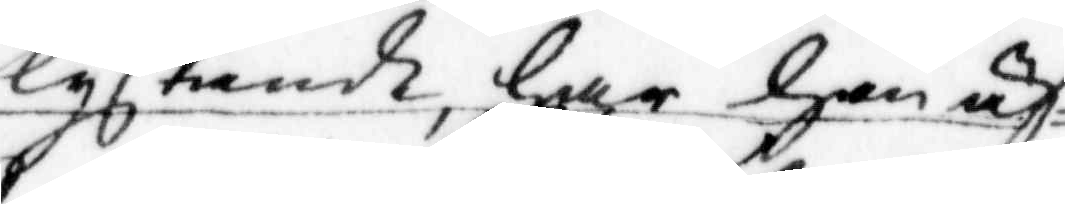lysande, har han äf¬
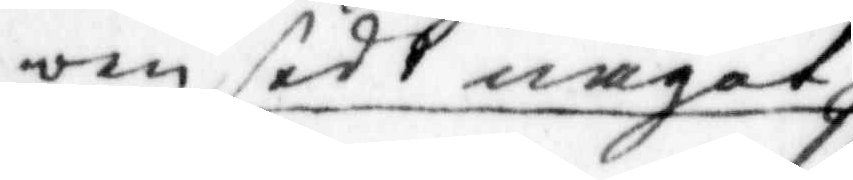ven sedt något
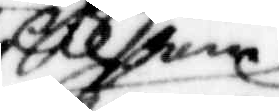xxxx
